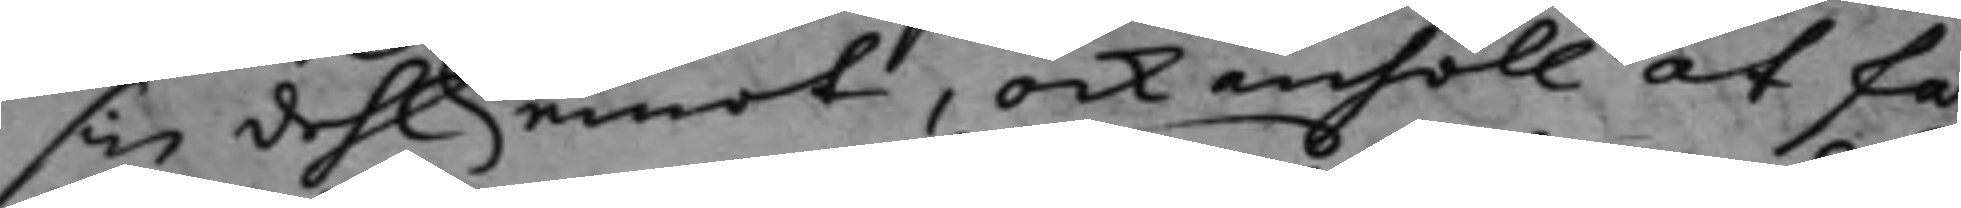sin dehl emot, ock anhöll at få
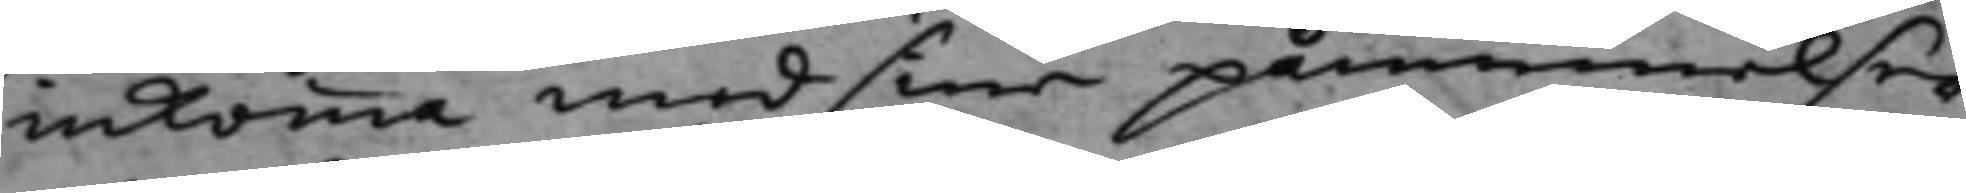inkomma med sine påminnelser
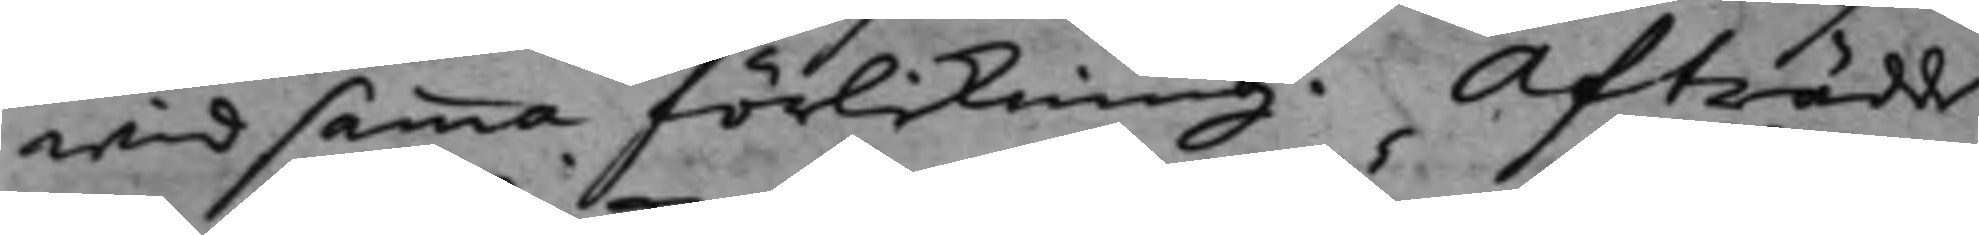wid samma förlikning. Afträdde.
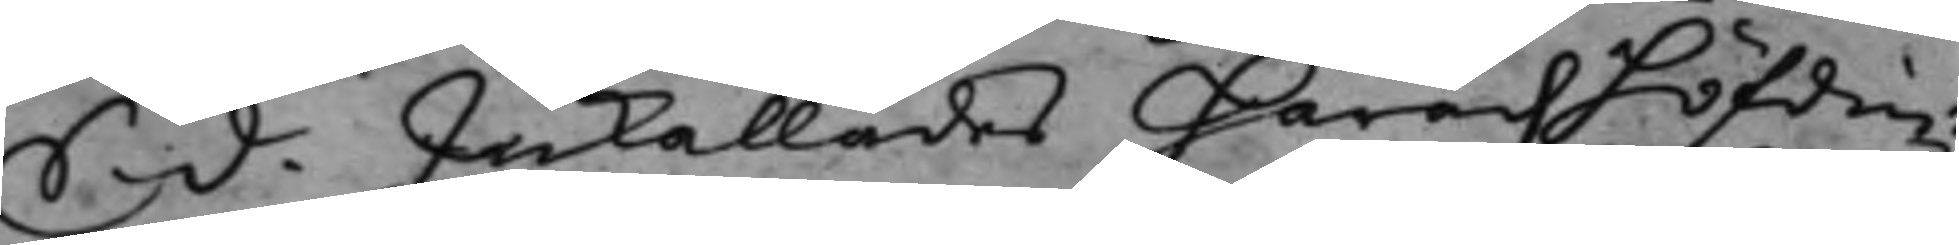S. d. Inkallades Häradshöfdin¬
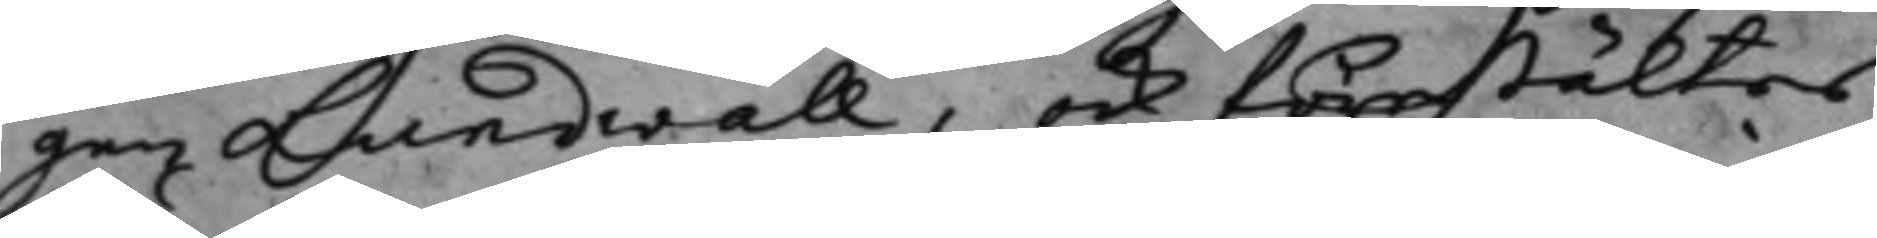gen Lundwall, och förestältes
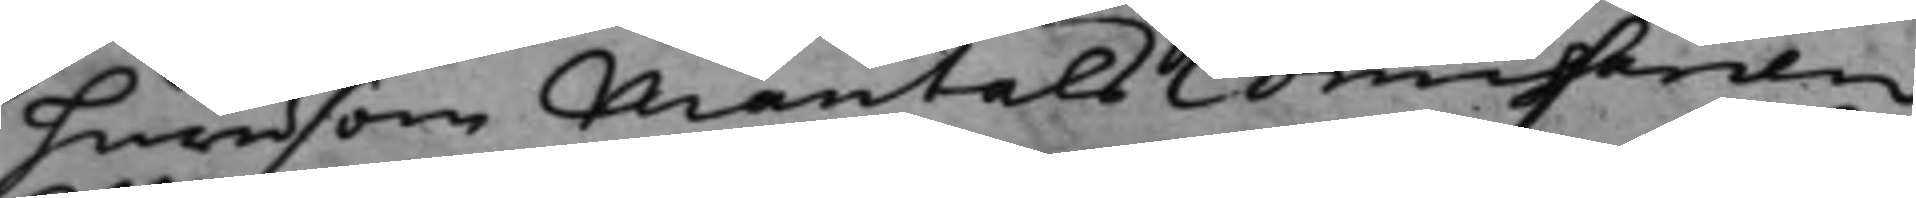hurusom MantalsComissarien
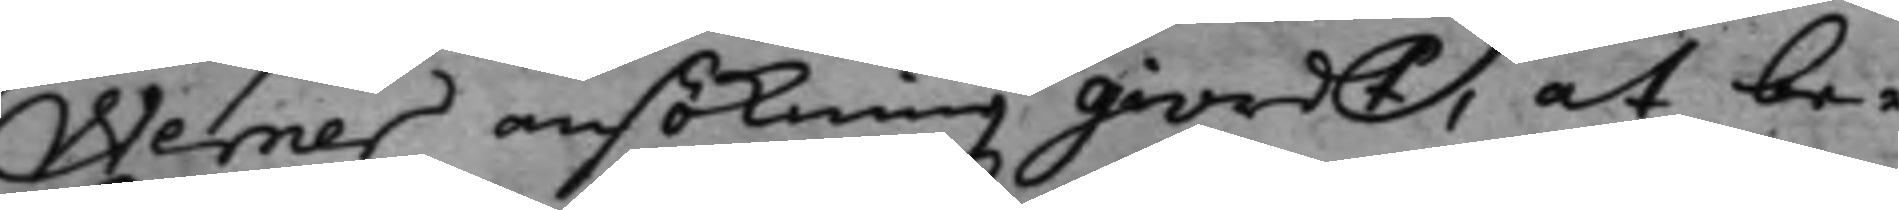Werner ansökning giordt, at be¬
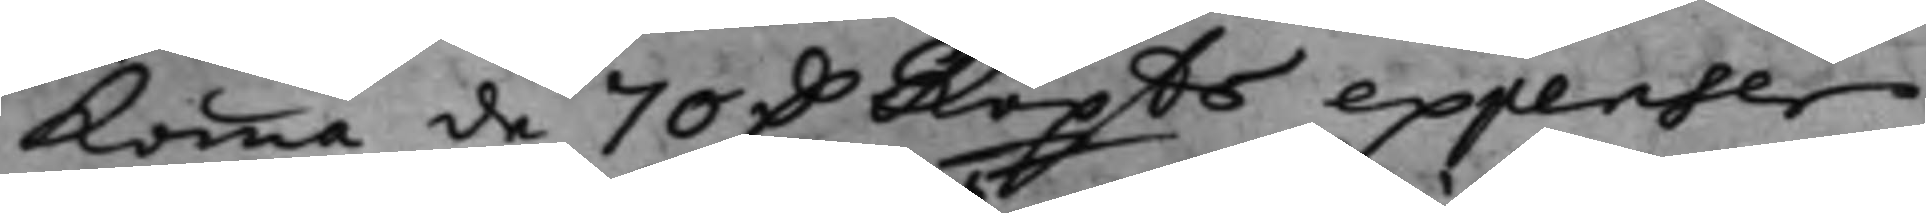Komma de 70 D.r Kopts expenser
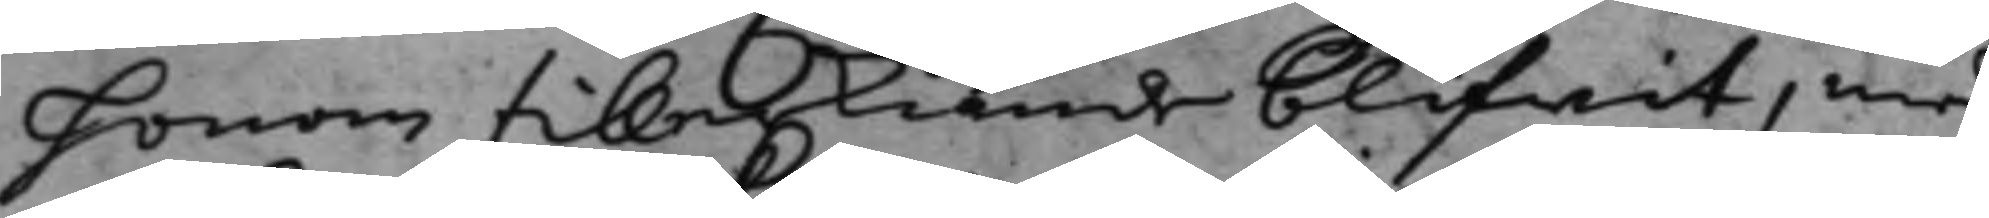honom tillerkiende blifwit, med
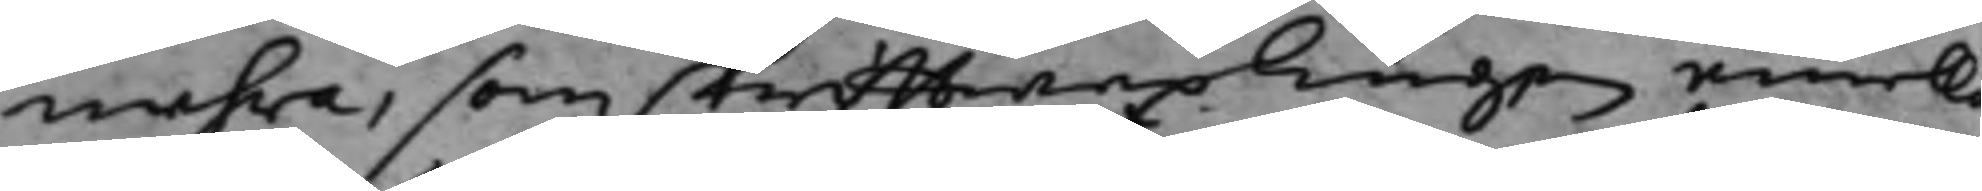mehra, som skrifftwexlingen emella
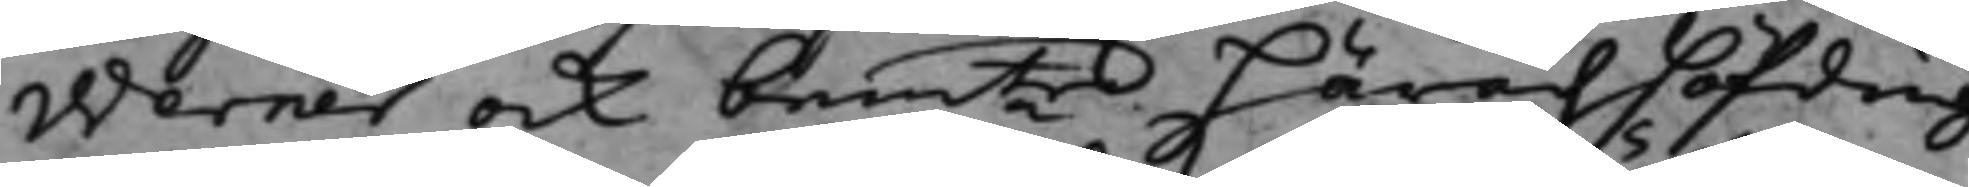Werner och bemte häradzhöfding
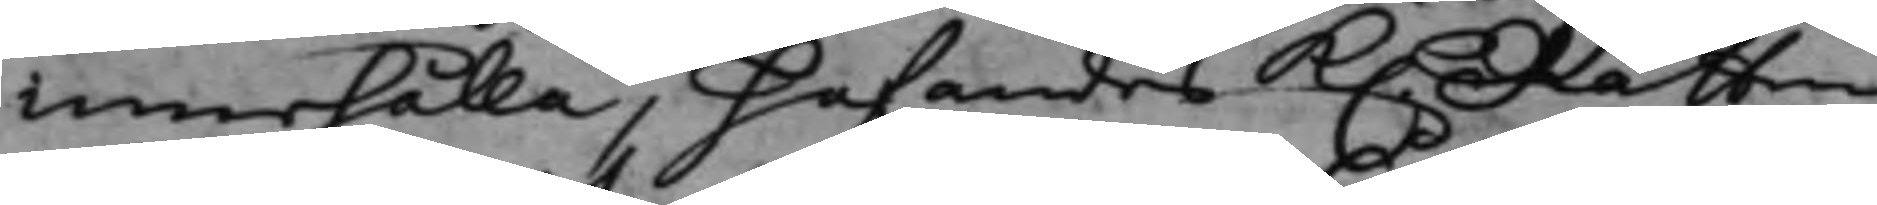innehålla, hafandes K. Rätten
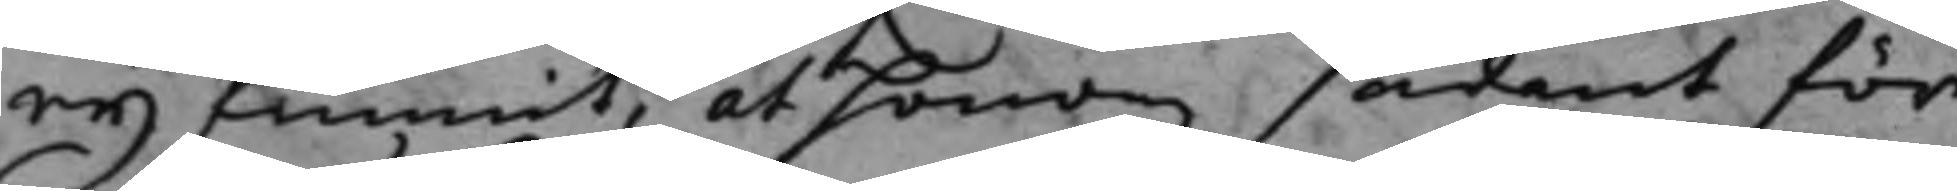eij funnit, at honom sådant för¬
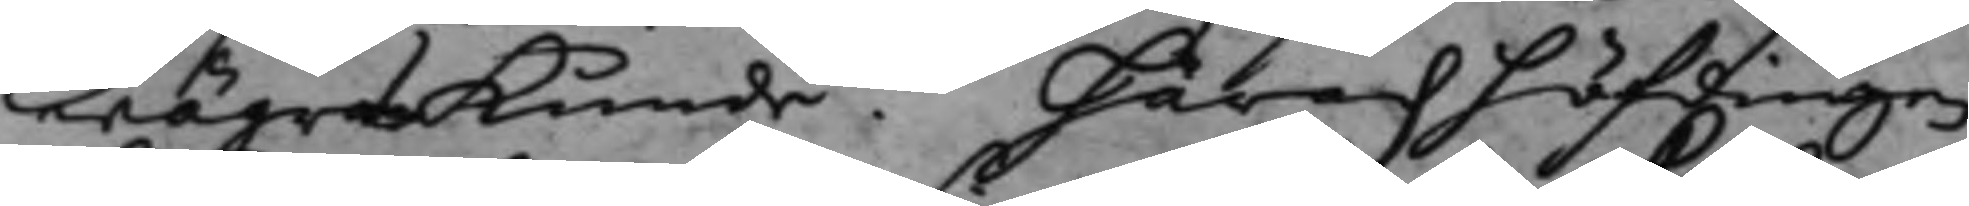wägras kunde. Häradzhöfdingen
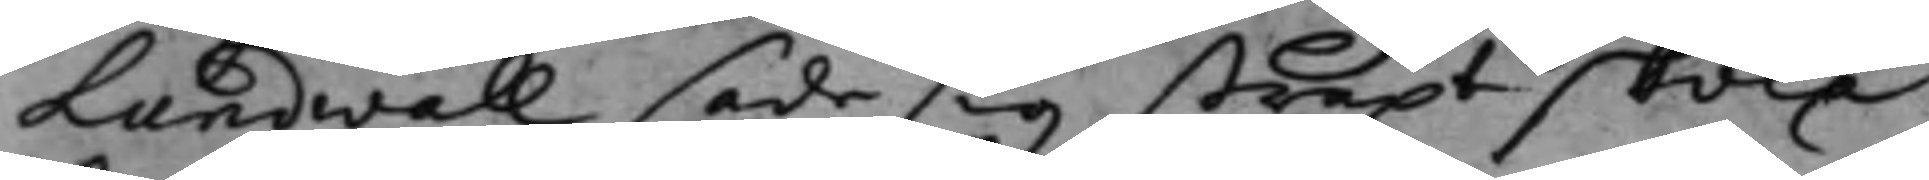Lundwall sade sig straxt skola
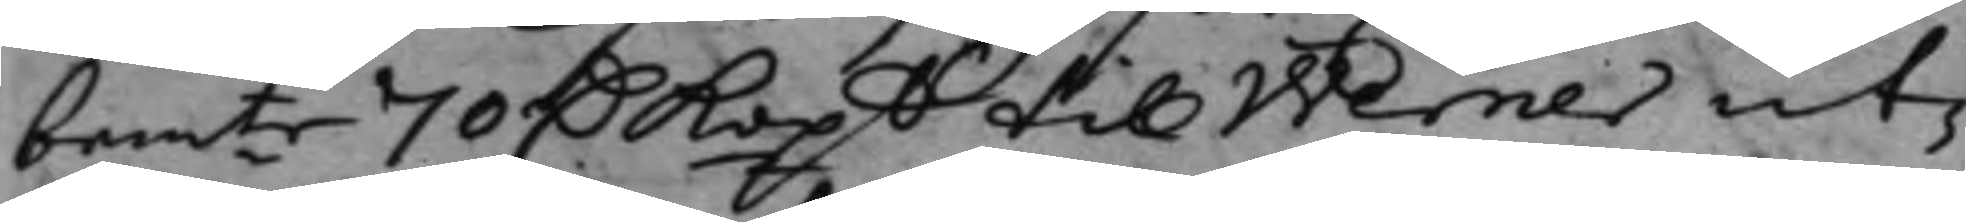bemte 70 D.r Kop.n til Werner ut¬
